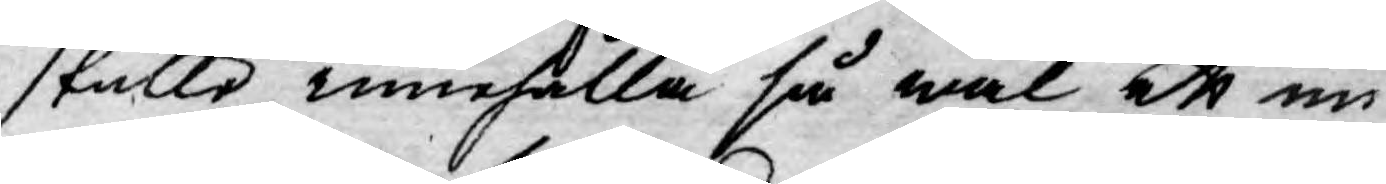skulle innehålla så wäl ett un¬
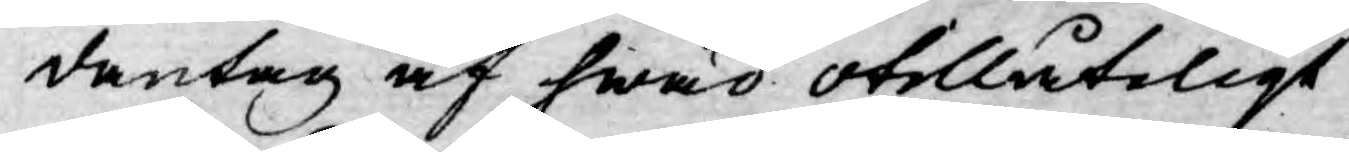dantag af hwad otillåteligt
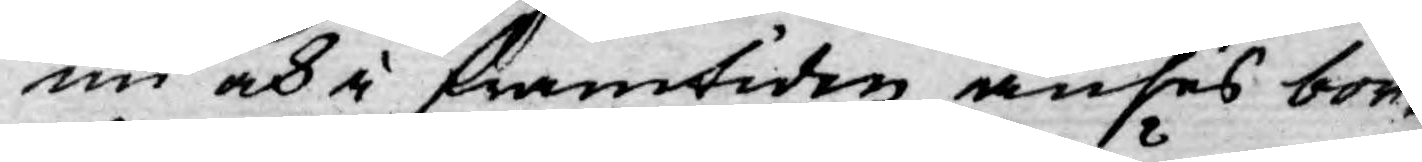nu och i framtiden anses bor¬
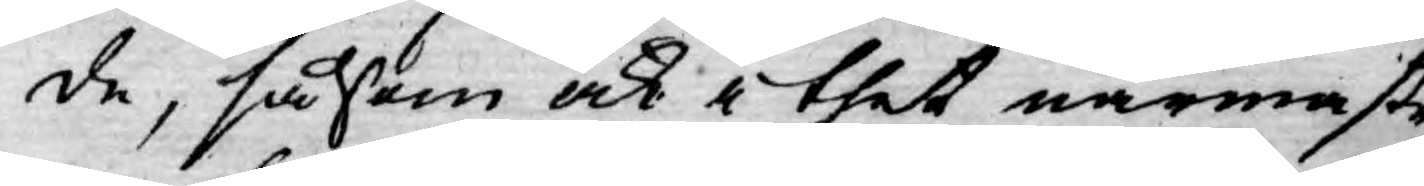de, såsom ock i thet närmaste
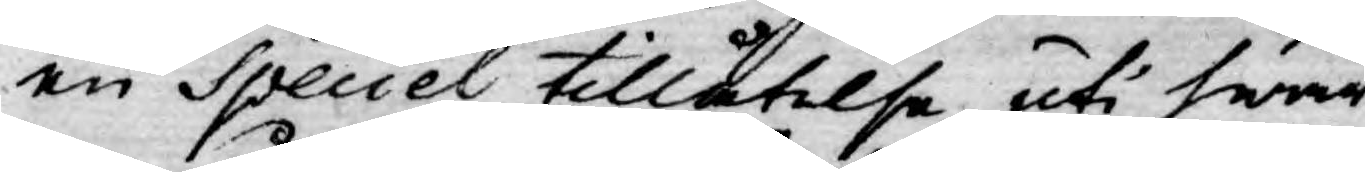en Speciel tillåtelse, uti hwar¬
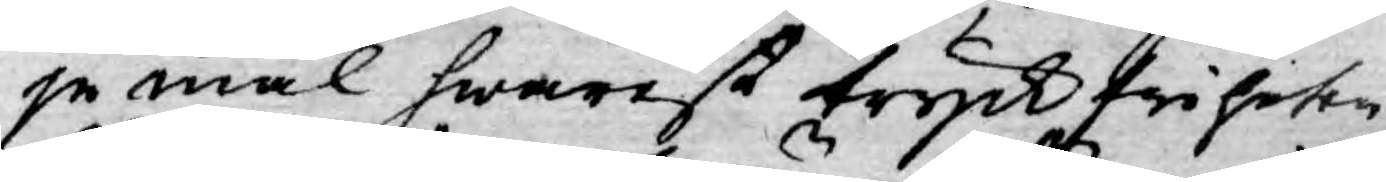je mål hwarest tryckfriheten
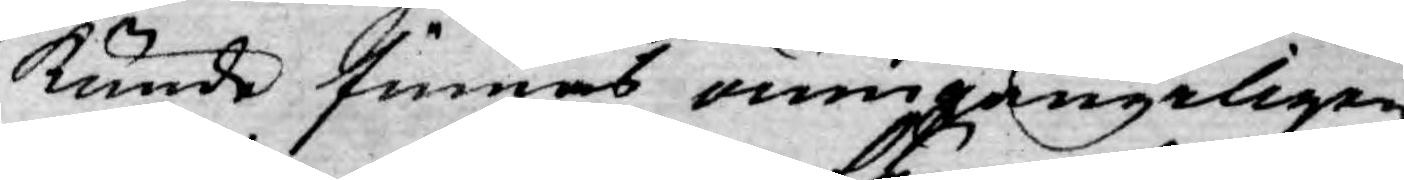kunde finnas oumgängeligen
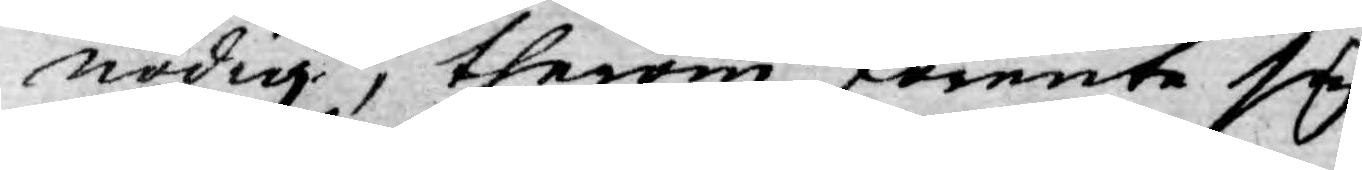nödig, therom förente sig
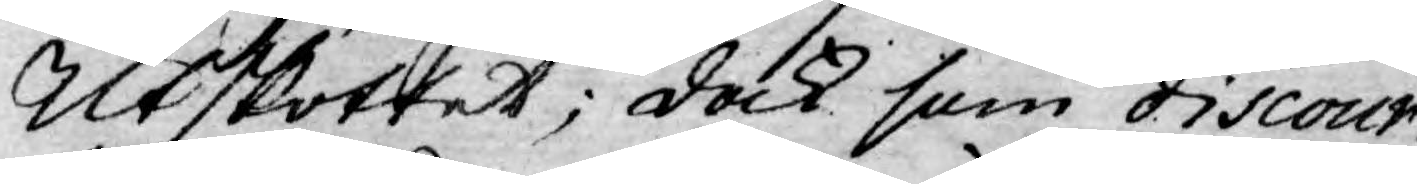Utskottet; dock som discour¬
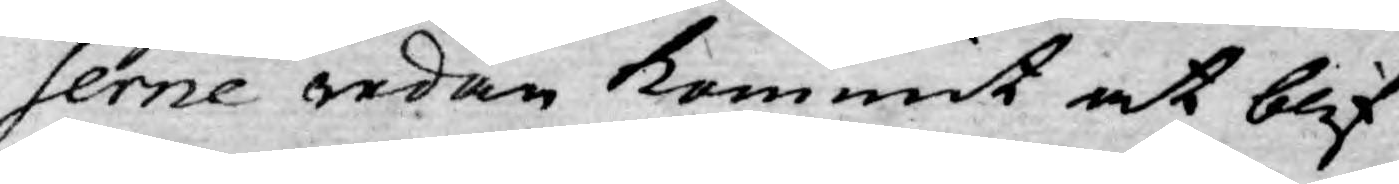serne redan kommit at blif¬
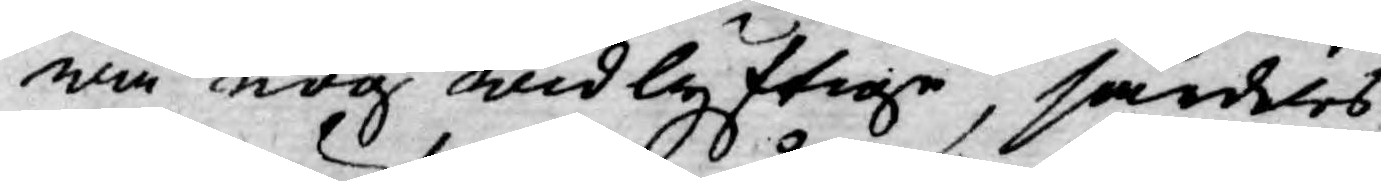wa nog widlyftige, särdeles
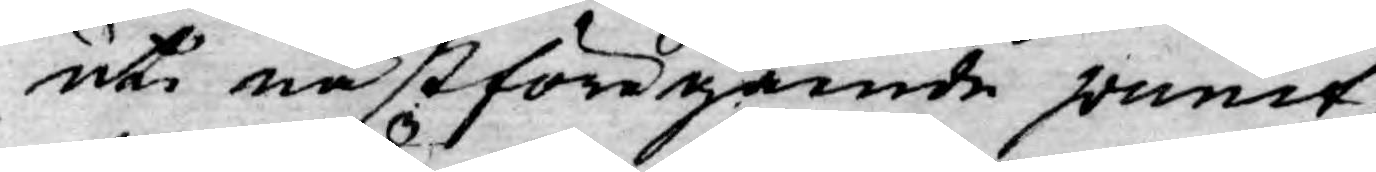uti nästföregående punct,
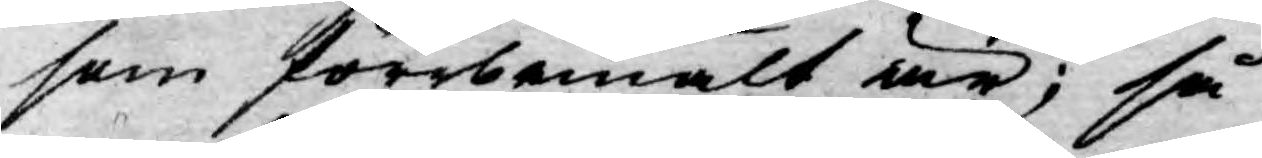som förrbemält är; så
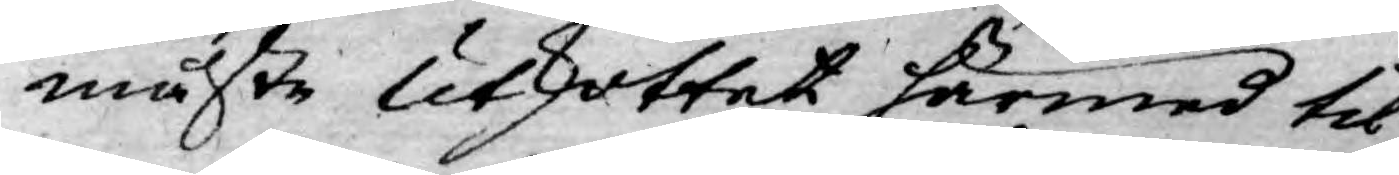måste Utskottet härmed til
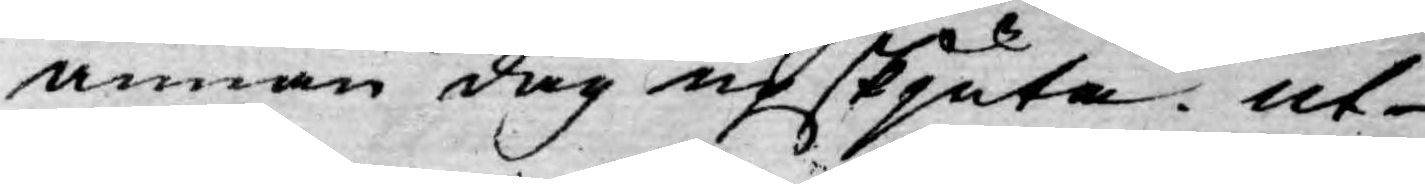annan dag upskjuta. ut
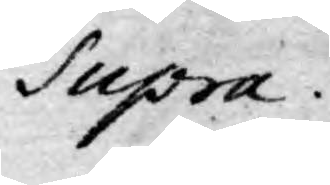Supra.
